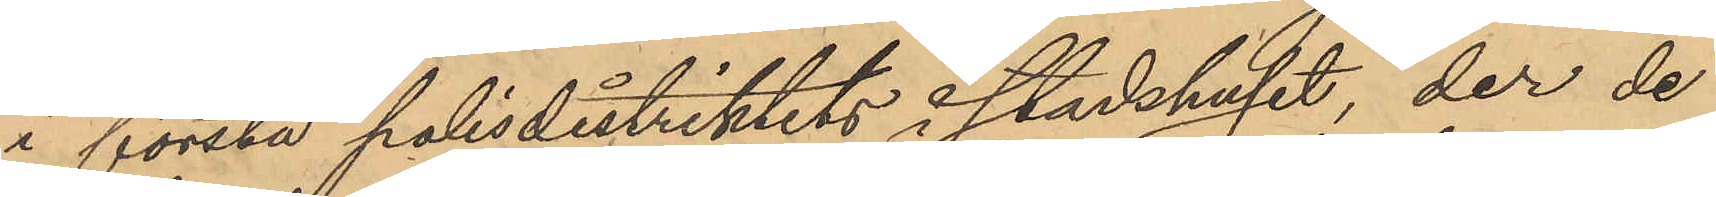i första polisdistriktets i Stadshuset, der de
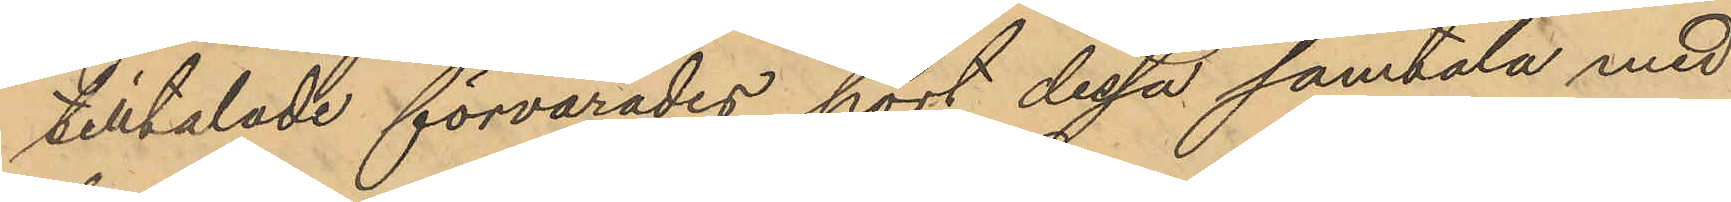tilltalade förvarades hört dessa samtala med
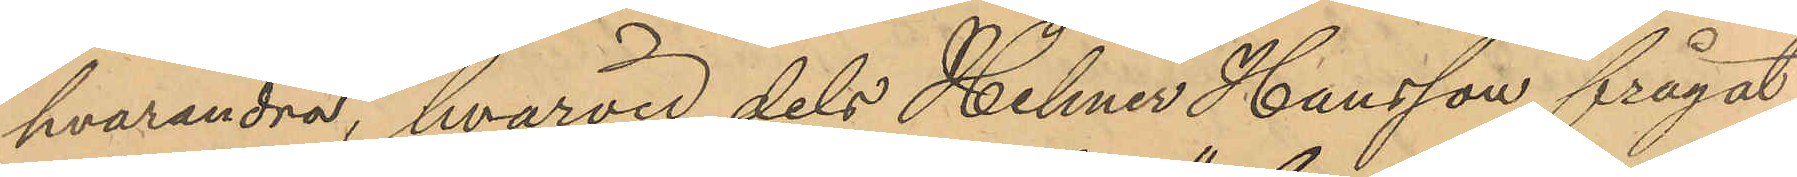hvarandra, hvarvid dels Helmer Hansson frågat
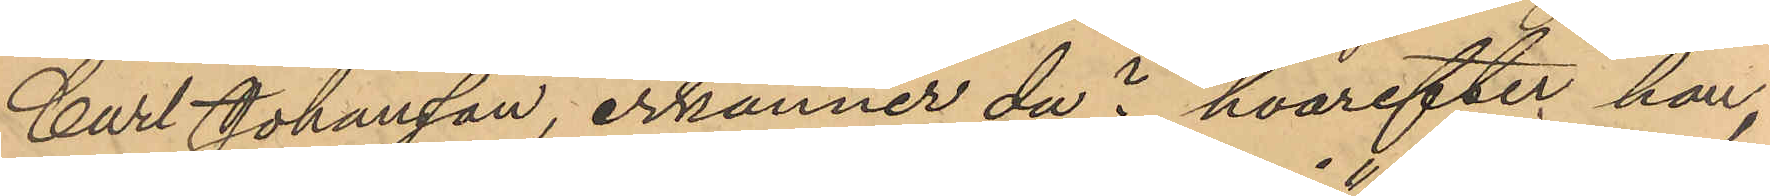Carl Johansson, "erkänner du" hvarefter han,
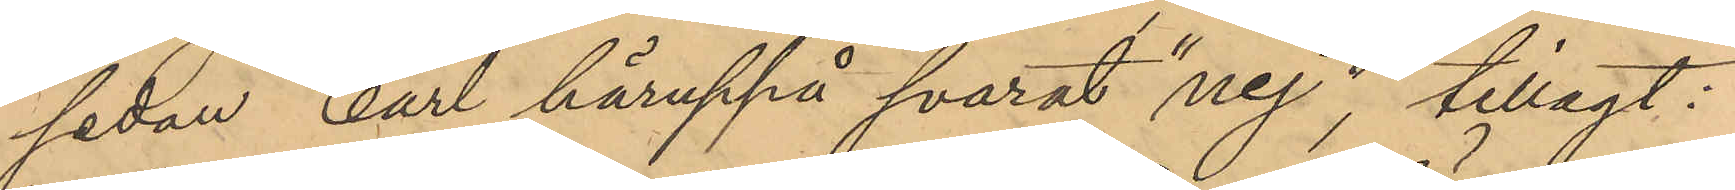sedan Carl häruppå svarat "nej", tillagt:
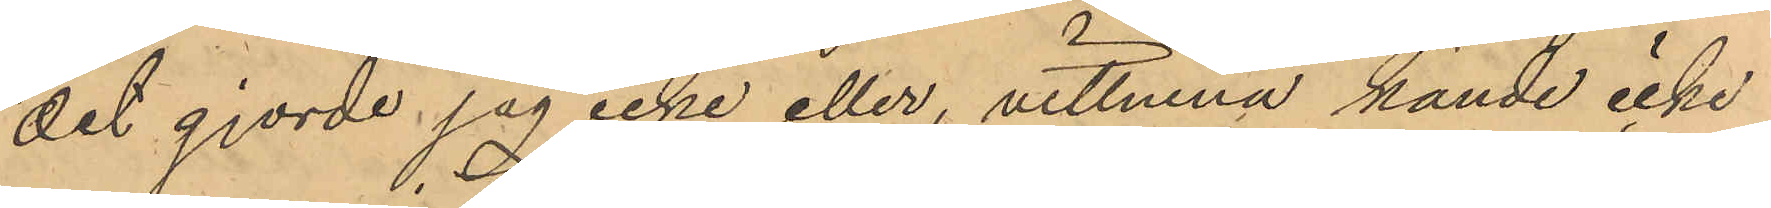"det gjorde jag icke eller, vittnena kände icke
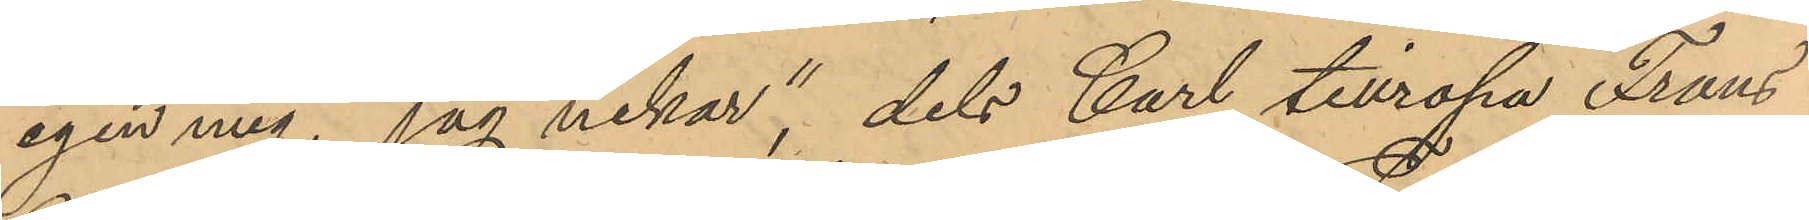igen mig, jag nekar", dels Carl tillropa Frans
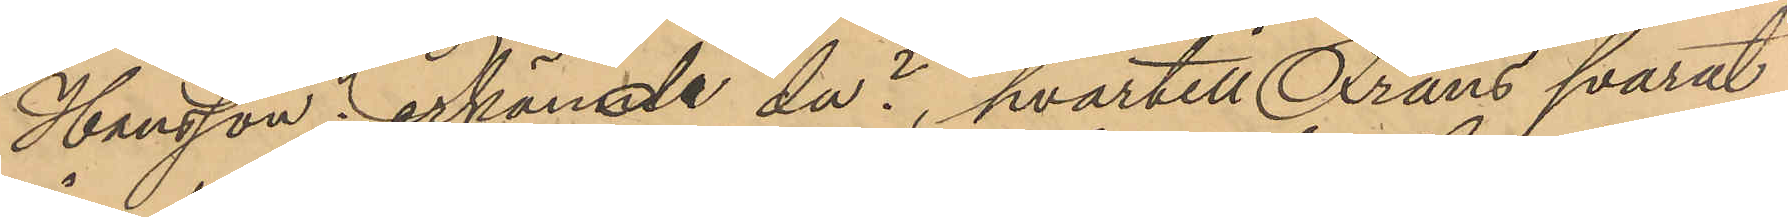Hansson: erkände du?, hvartill Frans svarat
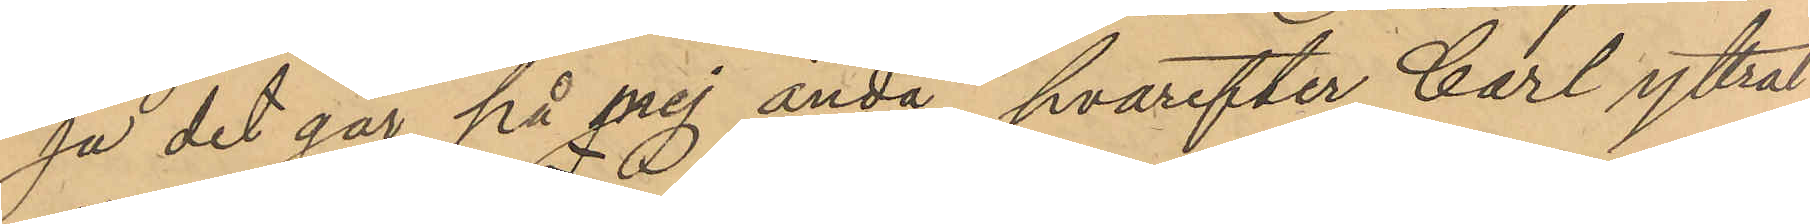"ja det går på mej ändå", hvarefter Carl yttrat
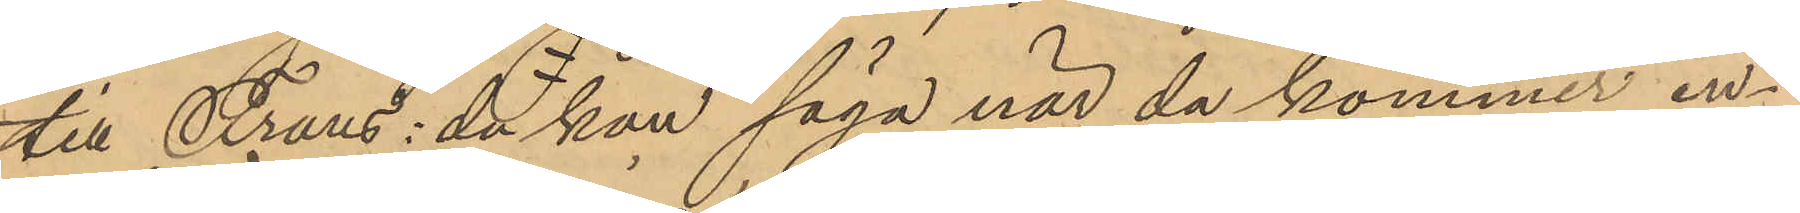till Frans: du kan säga när du kommer in¬
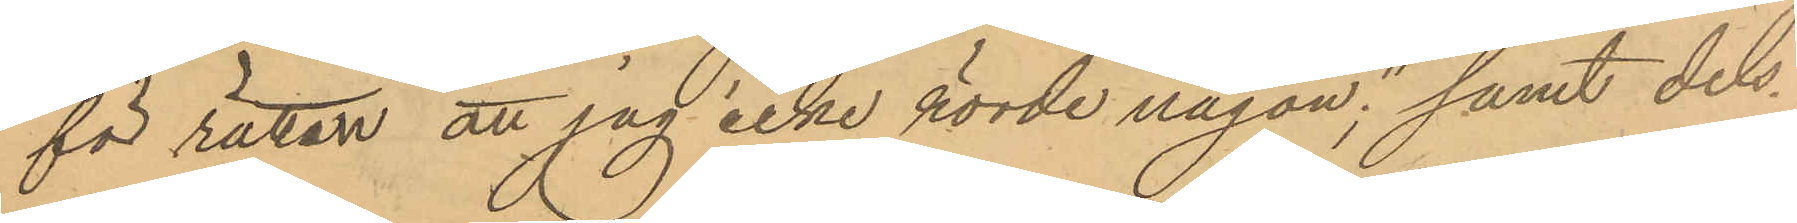för rätten att jag icke rörde någon"; samt dels
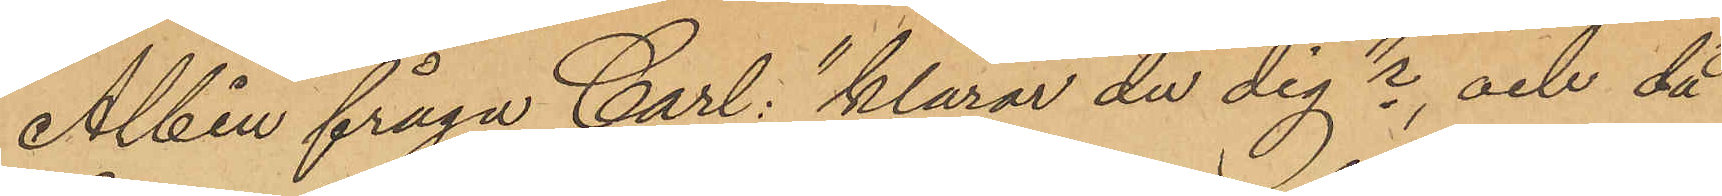Albin fråga Carl: klarar du dig"?, och då
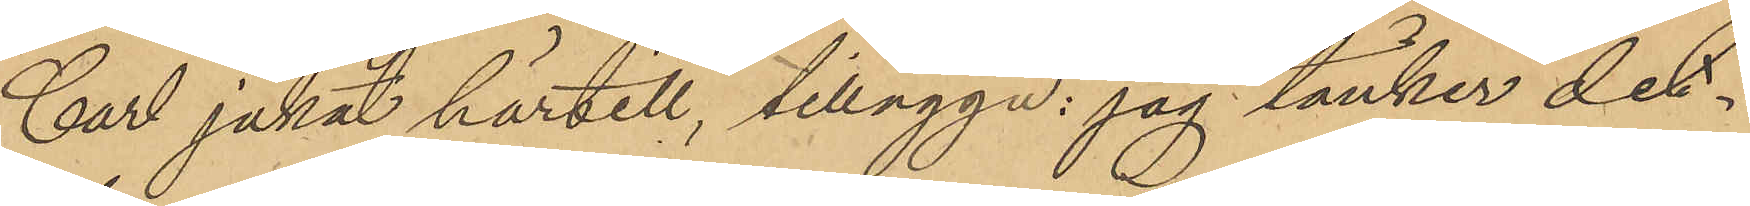Carl jakat härtill, tillägga: jag tänker det¬
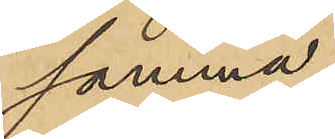samma."
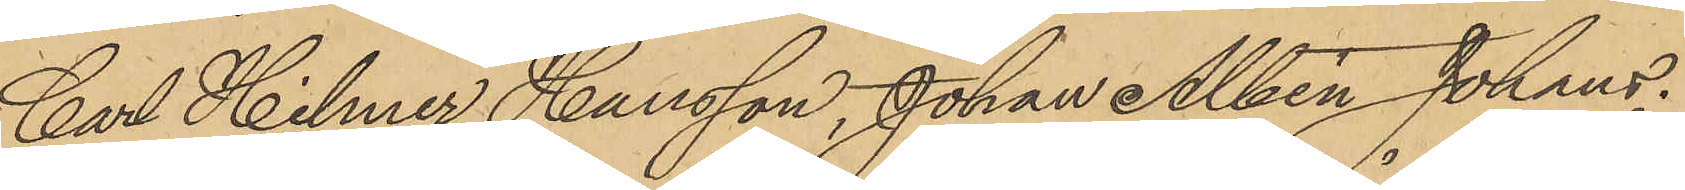Carl Hilmer Hansson, Johan Albin Johans¬
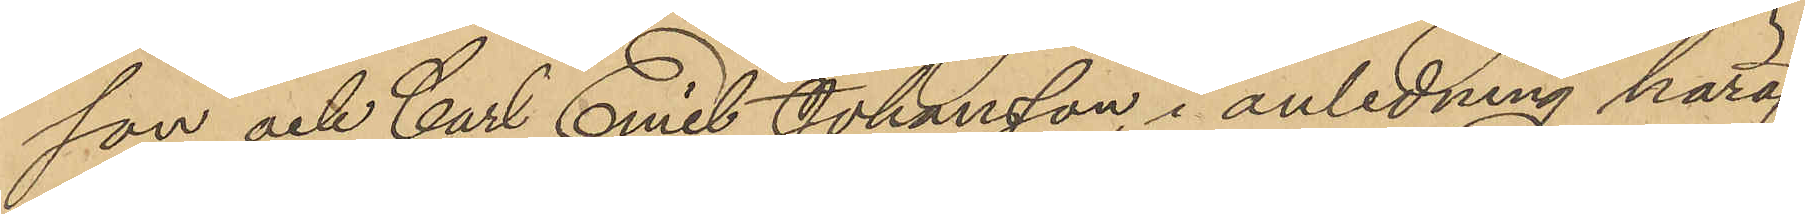son och Carl Emil Johansson, i anledning häraf
